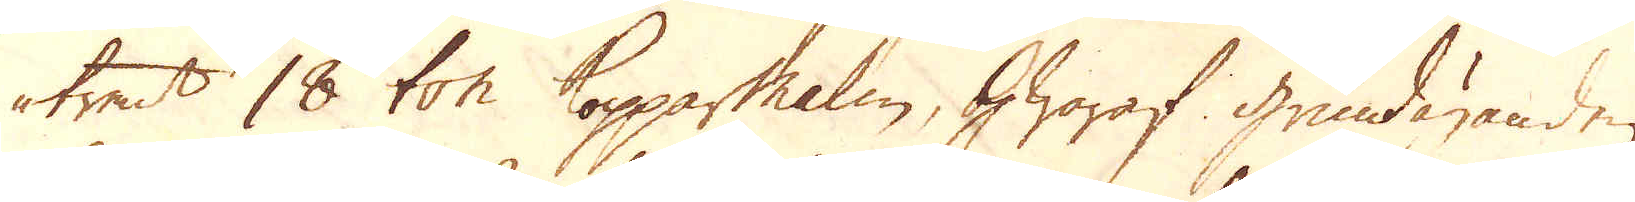trent 18 ton Kopparmalm, hwaraf grundäganden
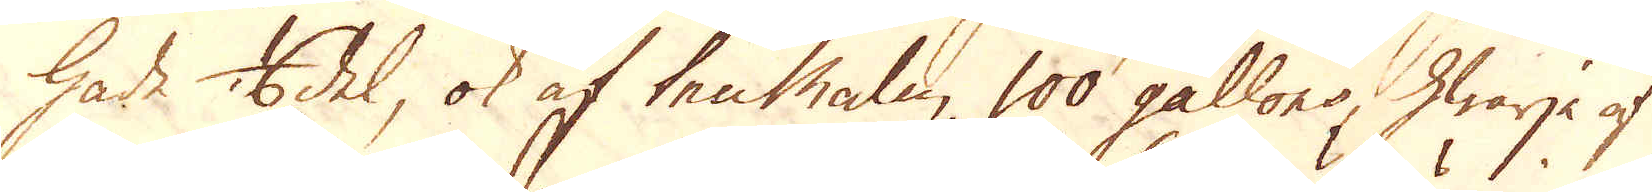hade 1/6 del, ok af tenmalm 100 gallons, hwarje af
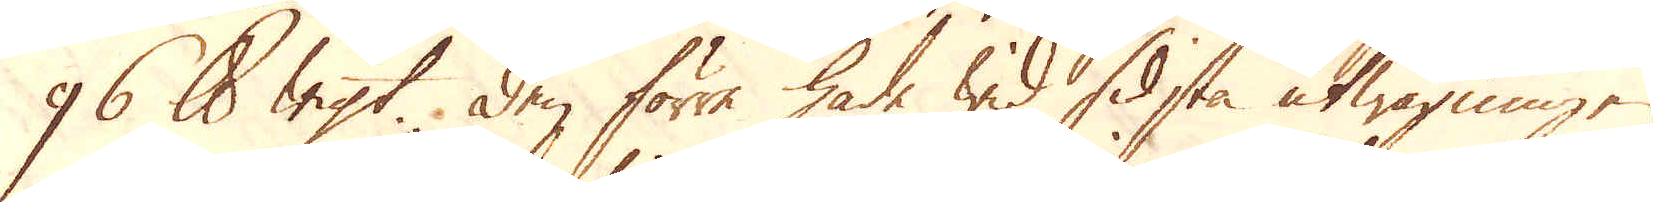96 skålpund wigt. Den förra hade wid sidsta utwägning
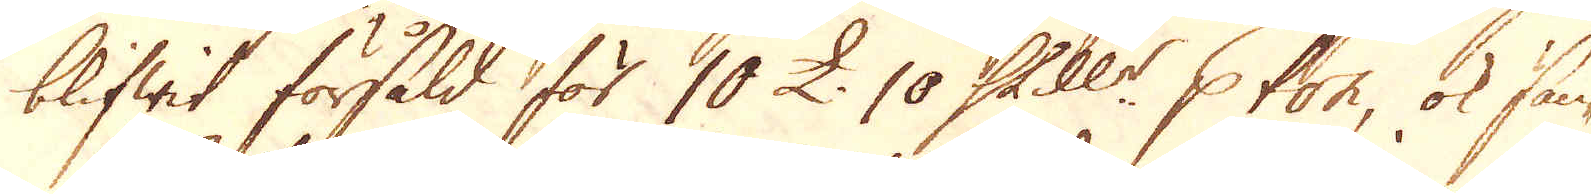blifwit försåld för 10 £. 10 Skill:r p ton, ok sän-
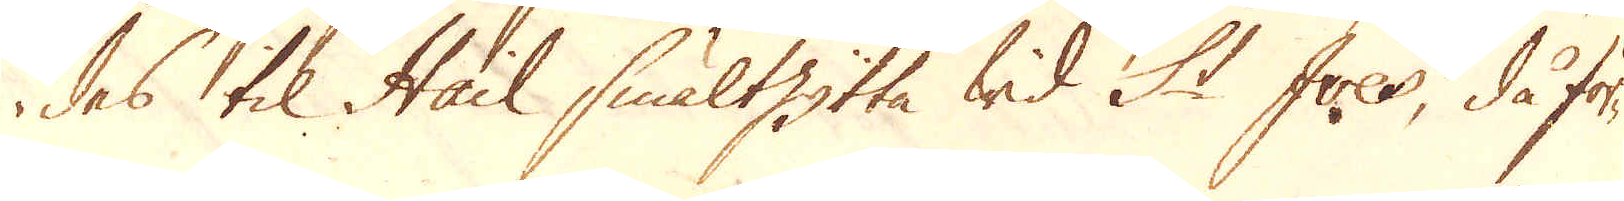des til Hail smälthytta wid St Ives, då för-
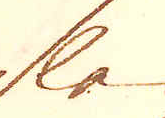slen
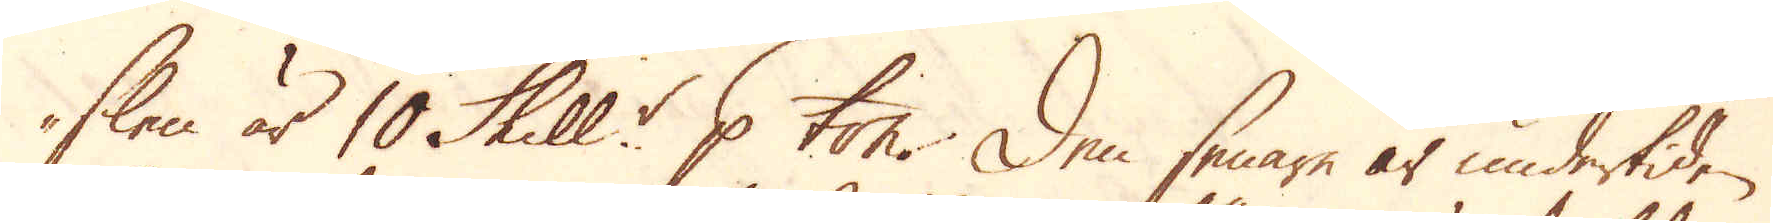slen är 10 Skill:r p ton. Den senare är undertiden
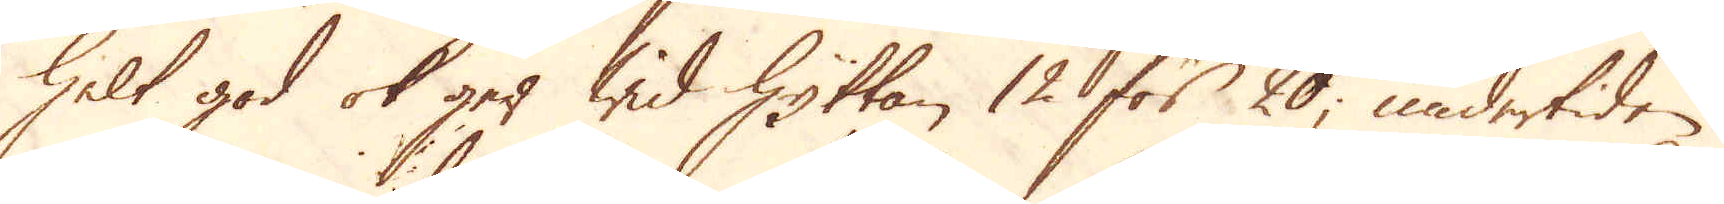helt god ok ger wid Hyttan 12 för 20, undertiden
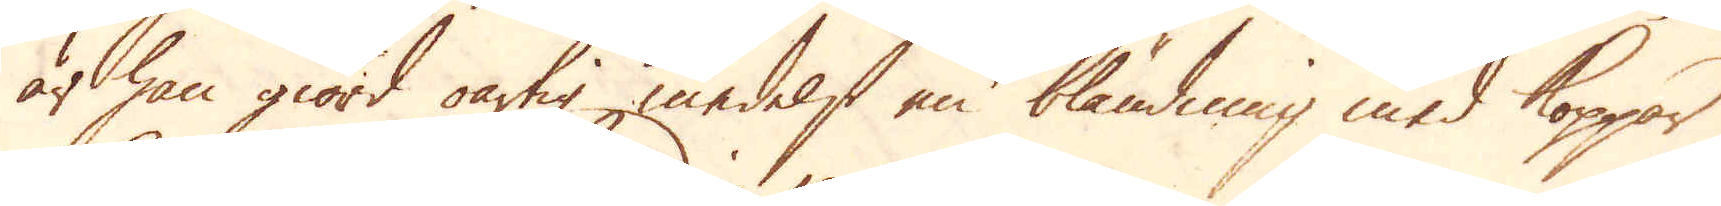är han giord oartig medelst en bländning med Koppar
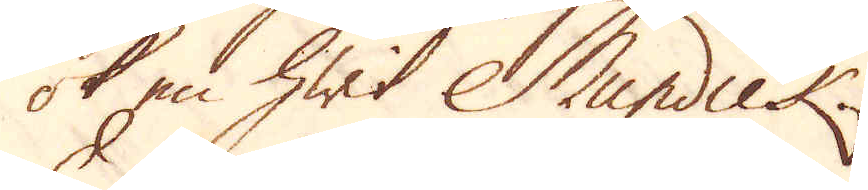ok en hwit Mundick.
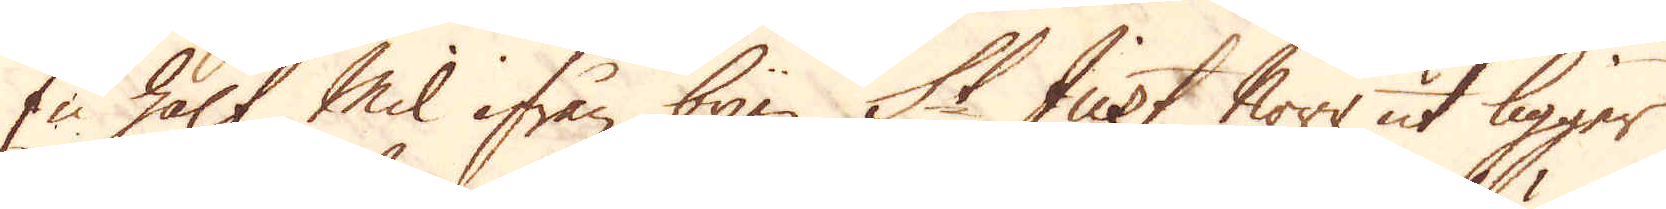En half Mil ifrån byen St Just Norr ut ligger
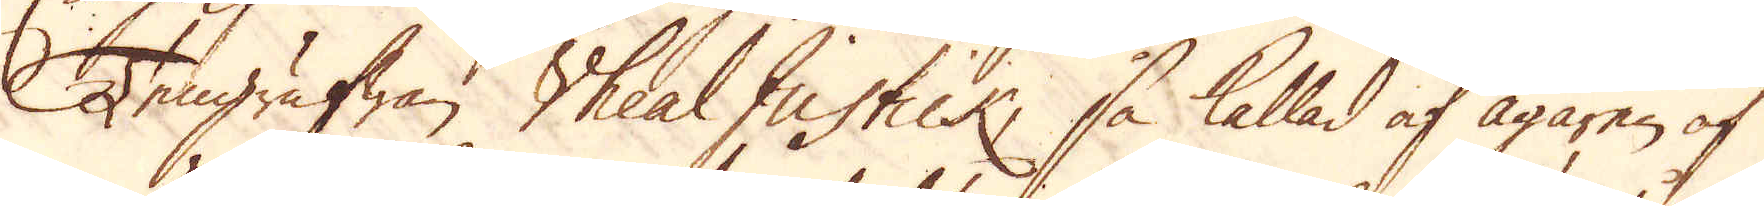Tengrufwan Wheal Justick, så kallad af ägaren af
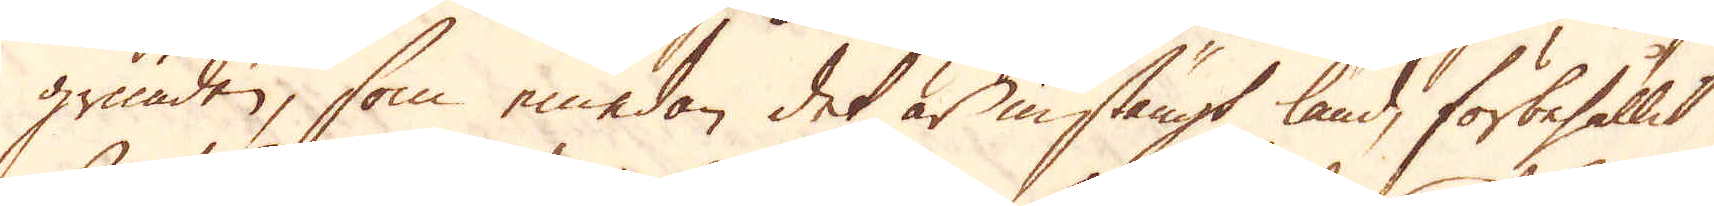grunden, som emedan det är instängt land, förbehållit
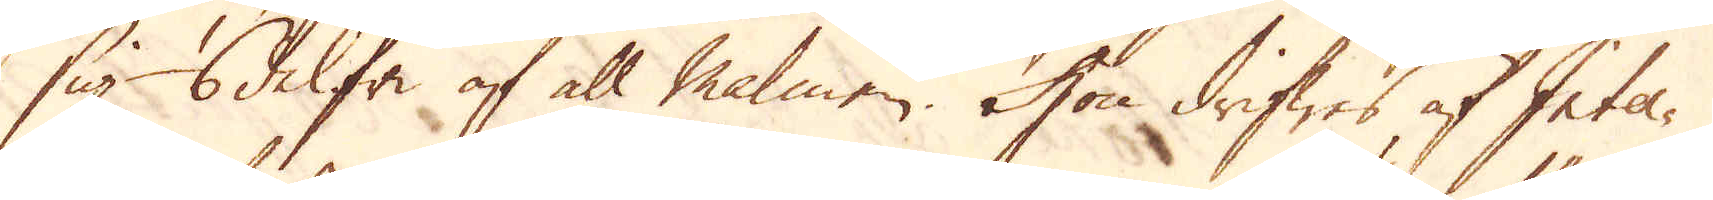sig 1/6 del fri af all malmen. Hon drifwes af Inter-
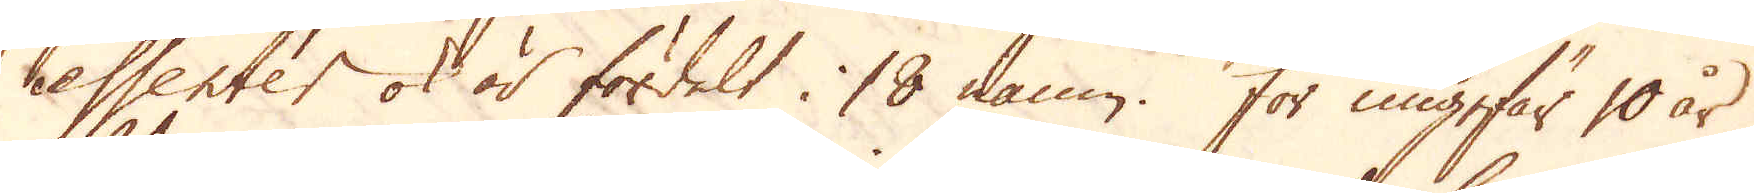essenter ok är fördelt i 18 namn. För ungefär 10 år
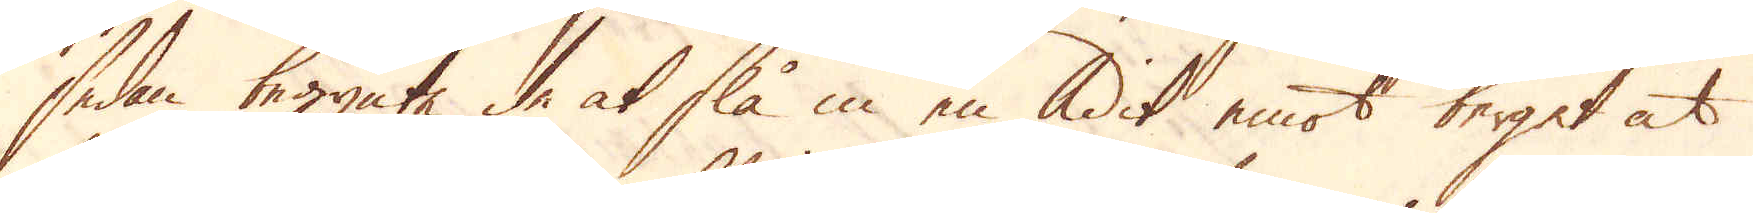sedan begynte de slå in en Adit emot berget at
